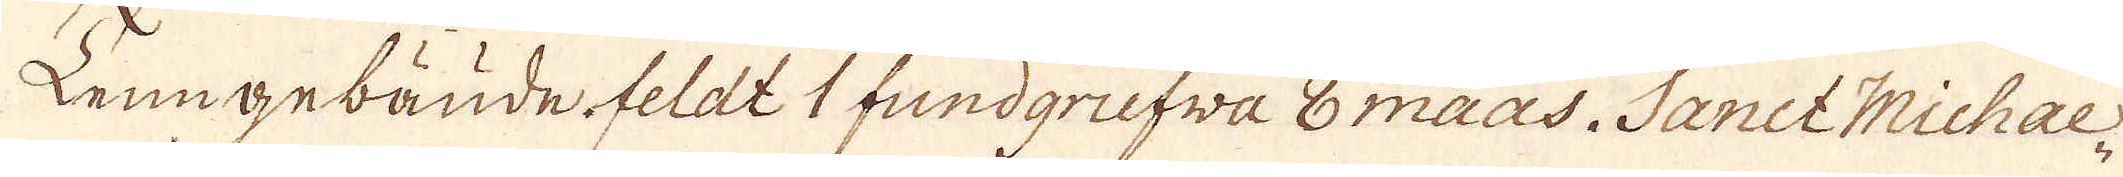Tenngebäude feldt 1 fundgrufva 8 maas. Sanct Michae-
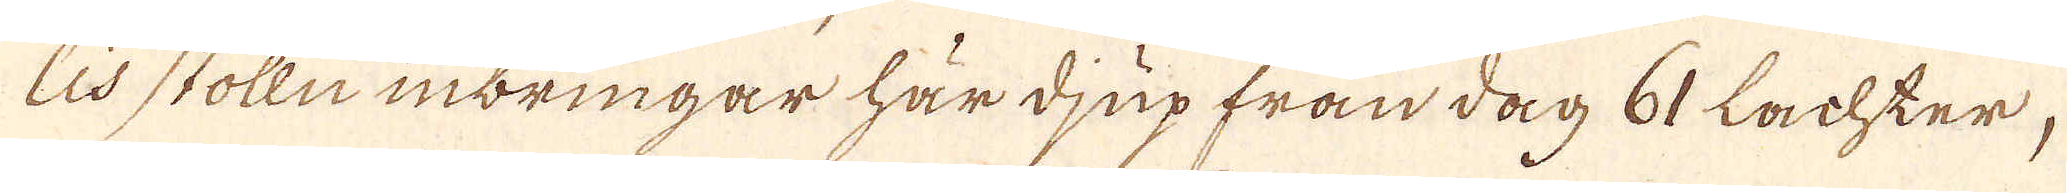lis stolln inbringar här djup från dag 61 Lachter,
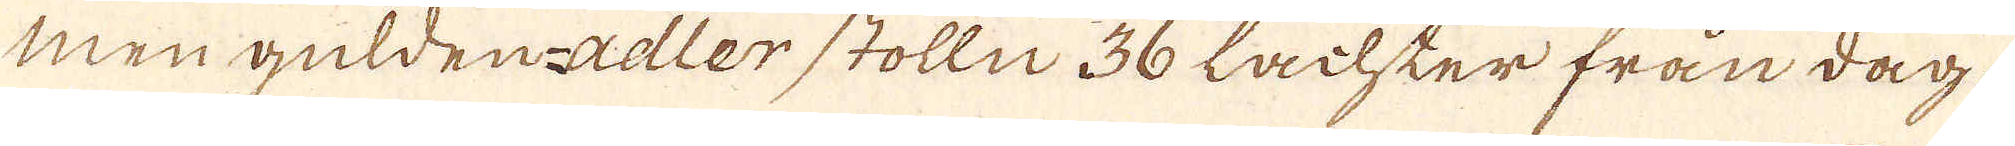men gülden-adler stolln 36 Lachter från dag.
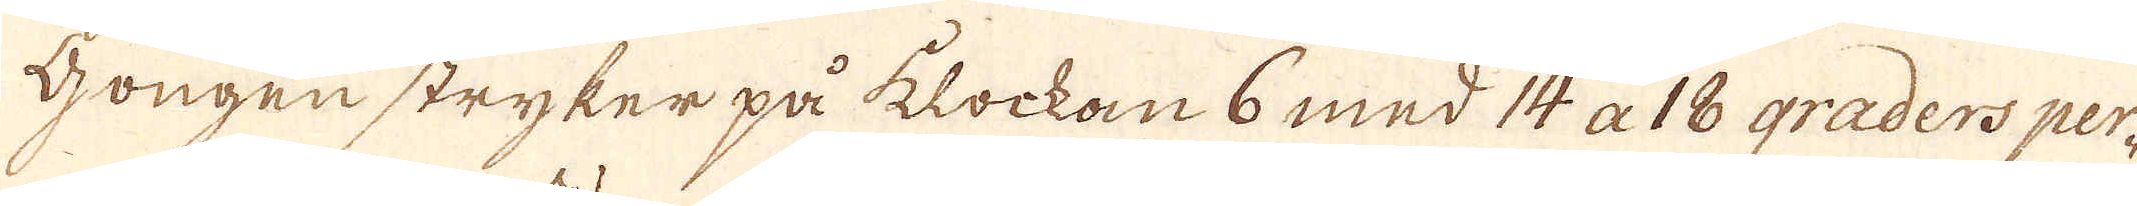Gongen stryker på klockan 6 med 14 a 18 graders per-
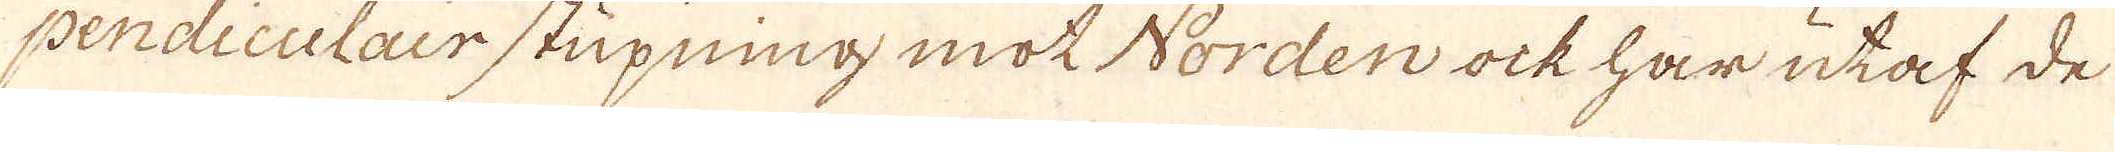pendiculair stupning mot Norden ock har utaf de
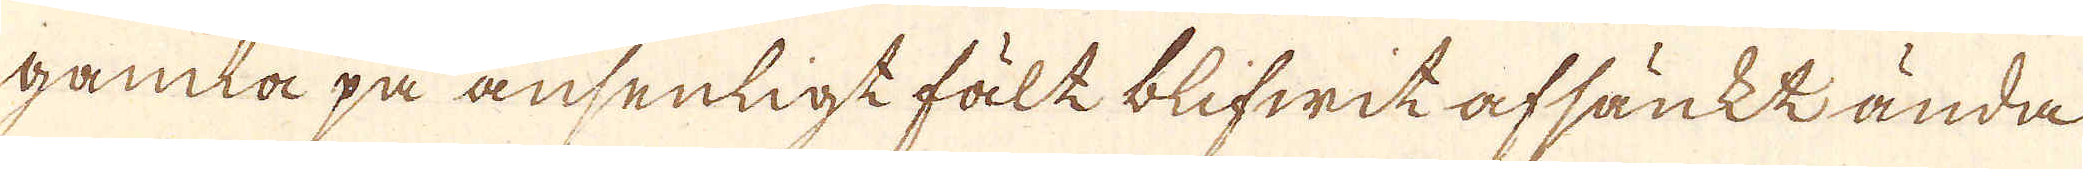gamla på ansenligt fält blifwit afsäntk ända
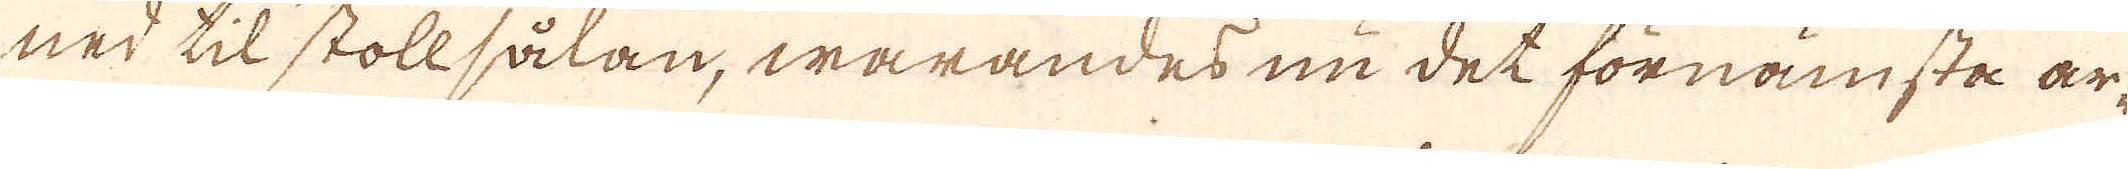ned til stollsålan, warandes nu det förnämsta ar-
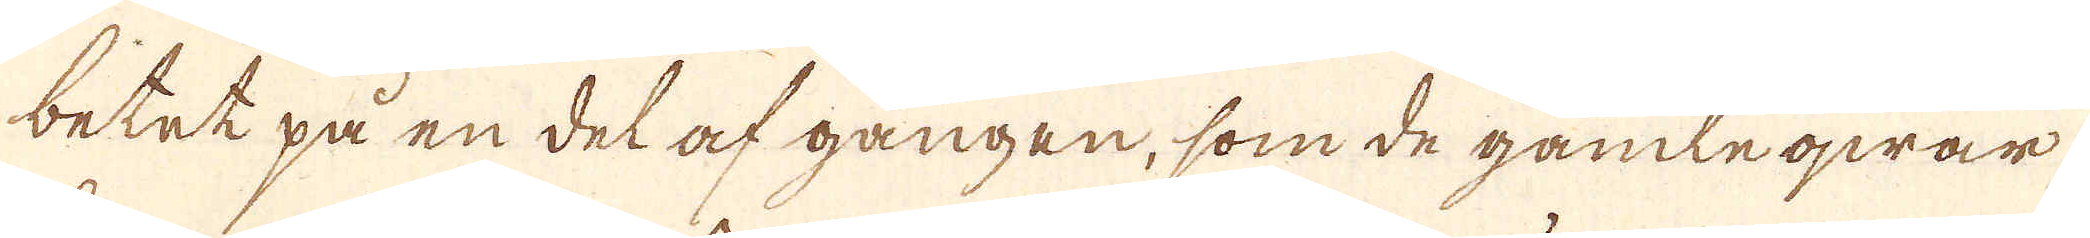betet på en del af gången, som de gamle qwar-
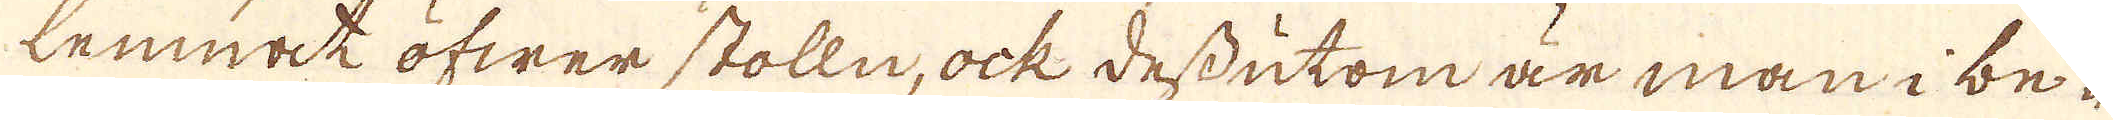lemnat öfwer stolln, ock dessutom är man i be-
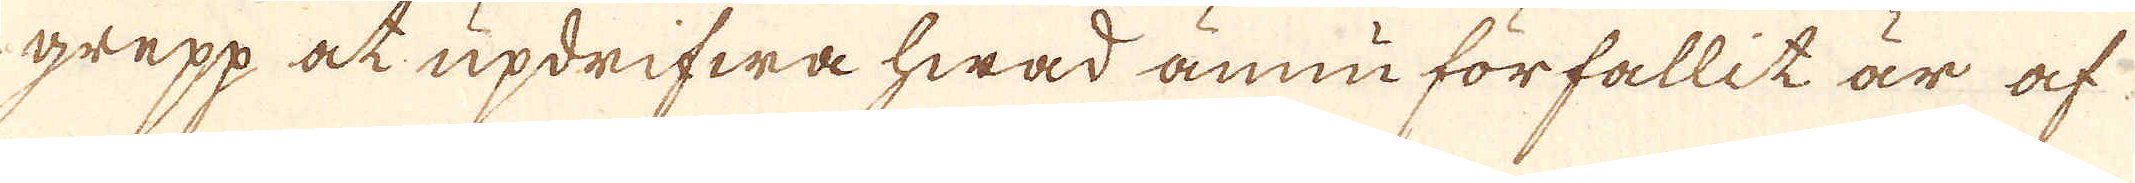grepp at updrifwa hwad ännu förfallit är af
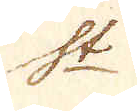S:t
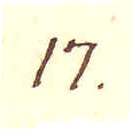17.
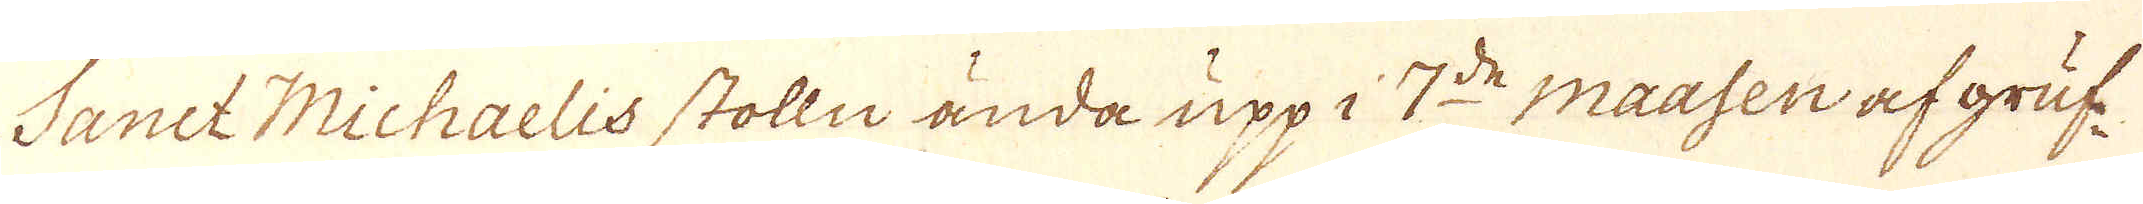Sanct Michaelis stolln ända upp i 7:de maasen af gruf-
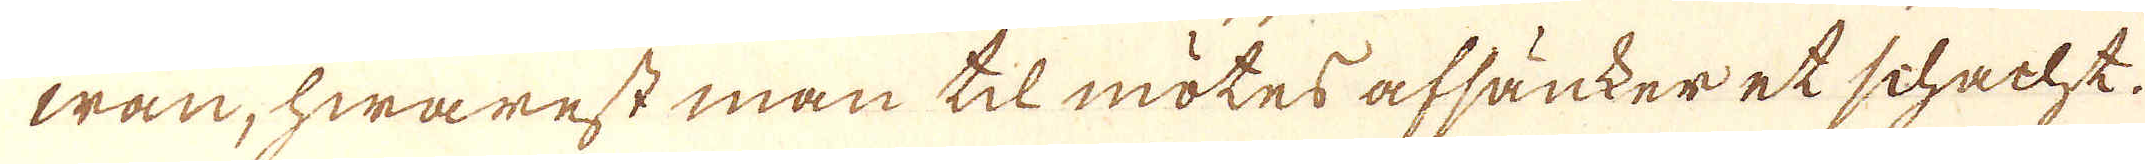wan, hwarest man til mötes afsänker et schacht.
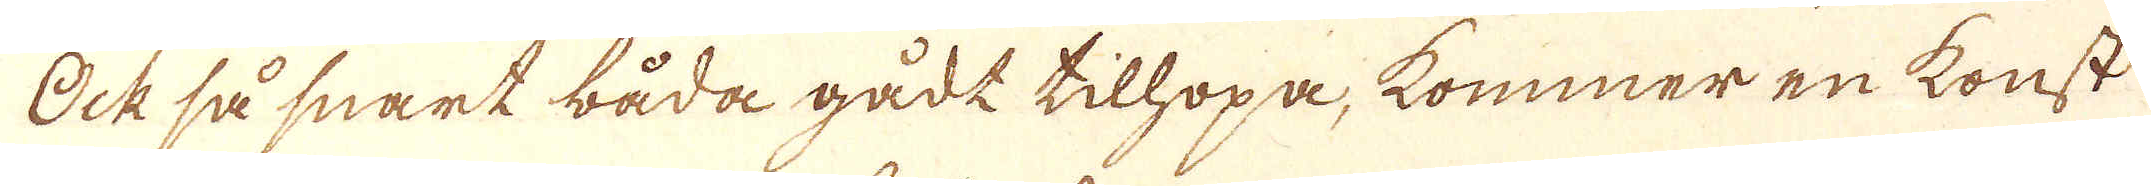Ock så snart båda gådt tilhopa, kommer en konst
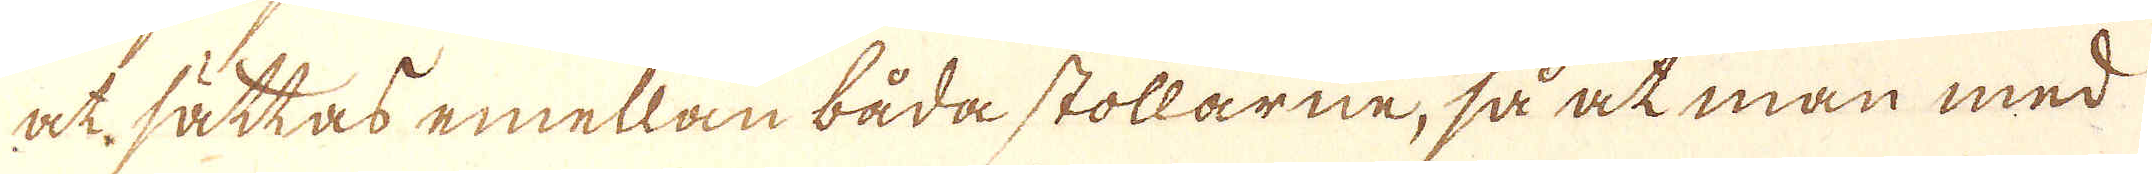at sättas emellan båda stollarne, så at man med
